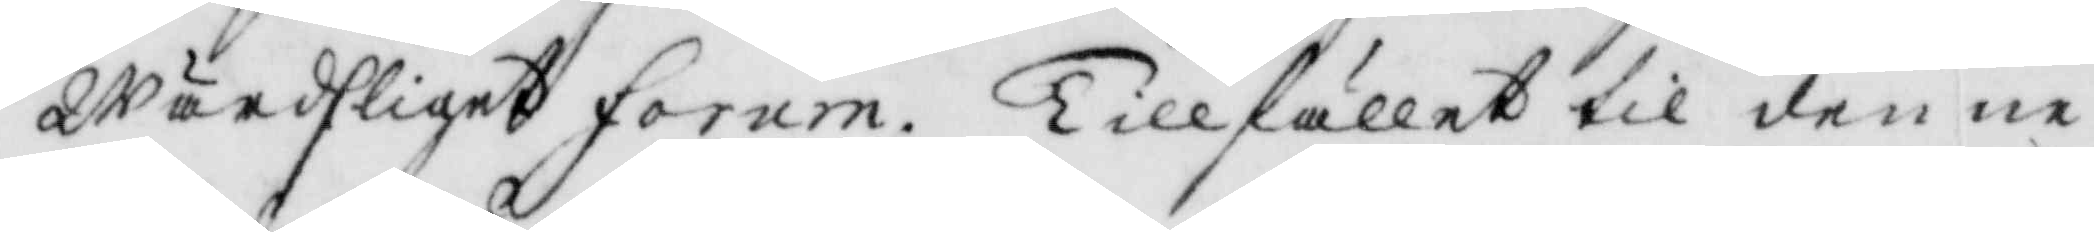Wärdsliget forum. Tillfället til denne
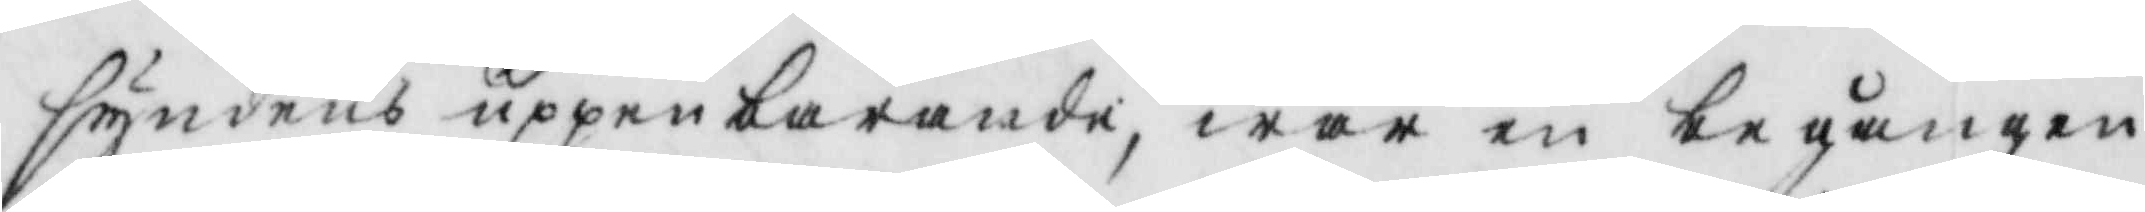syndens uppenbarande, war en begången
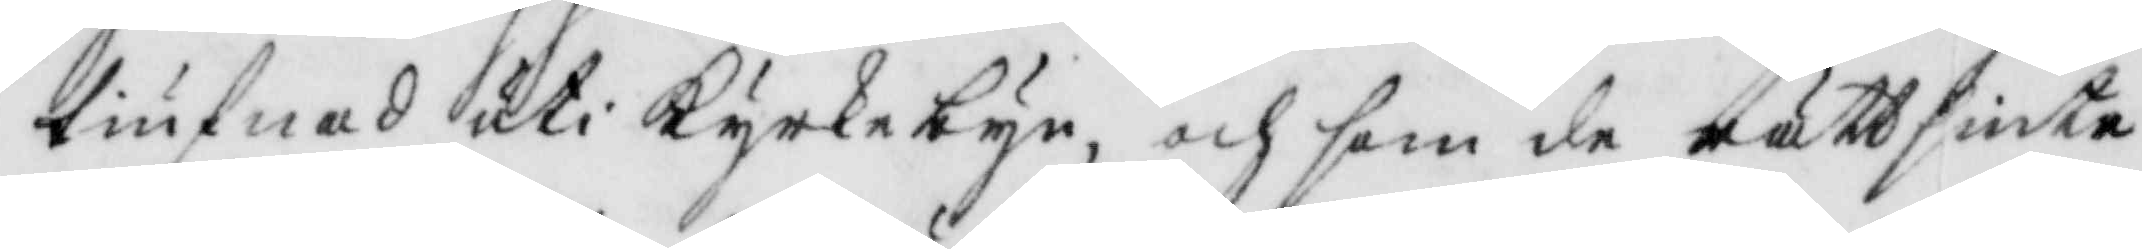tiufnad uti Kyrkebyn, och som de rättsinte
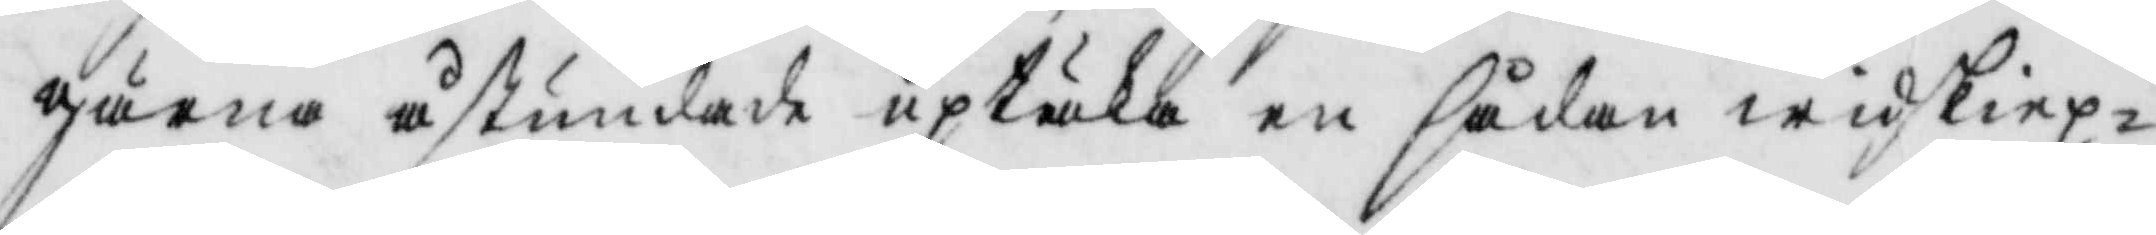gärna åstundade uptäka en sådan widskiep¬
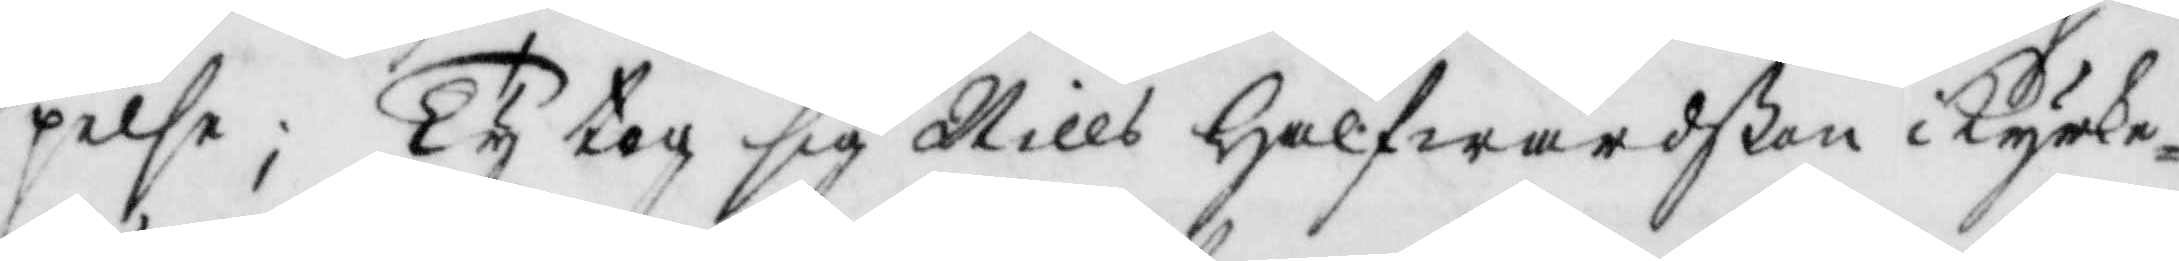pelse; Ty tog sig Nills Halfwardßon i Kyrke¬
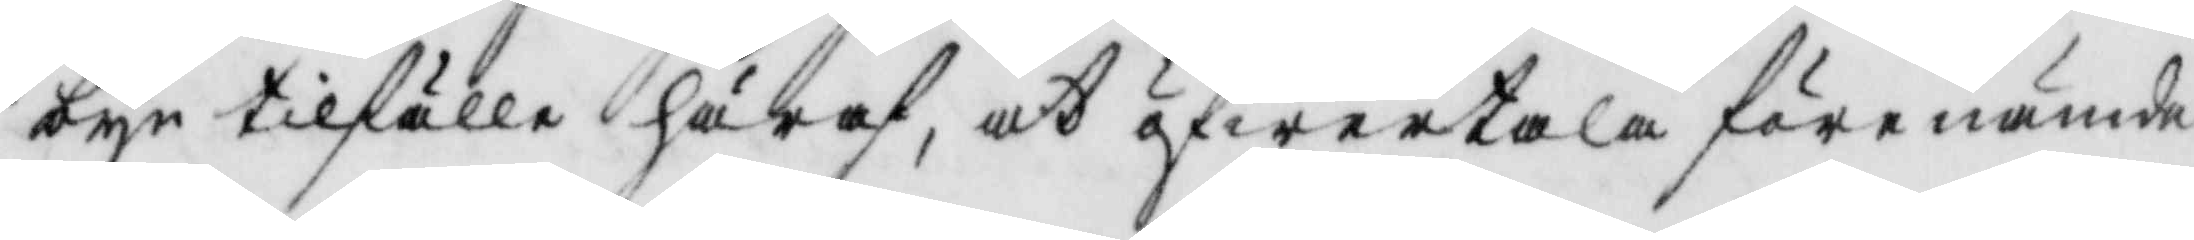byn tilfälle häraf, at öfwertala förenämde
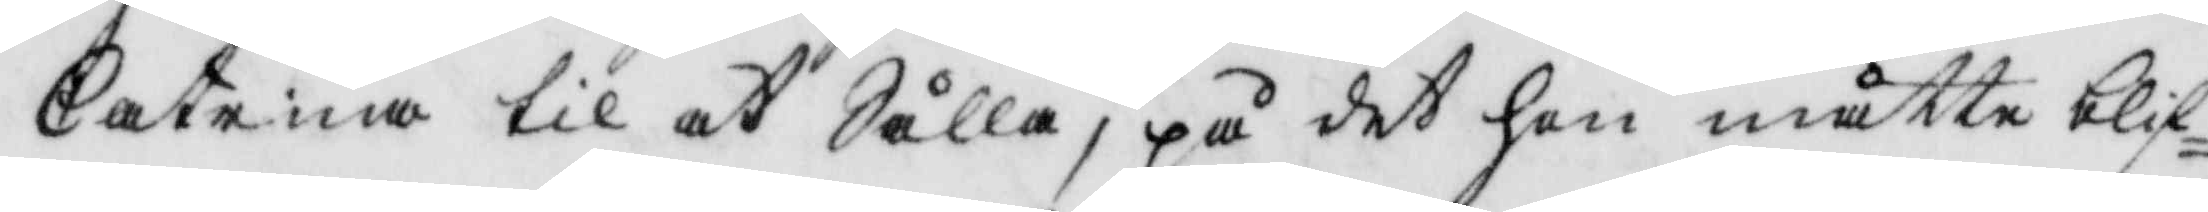Catrina til at Sålla, på det hon måtte blif¬
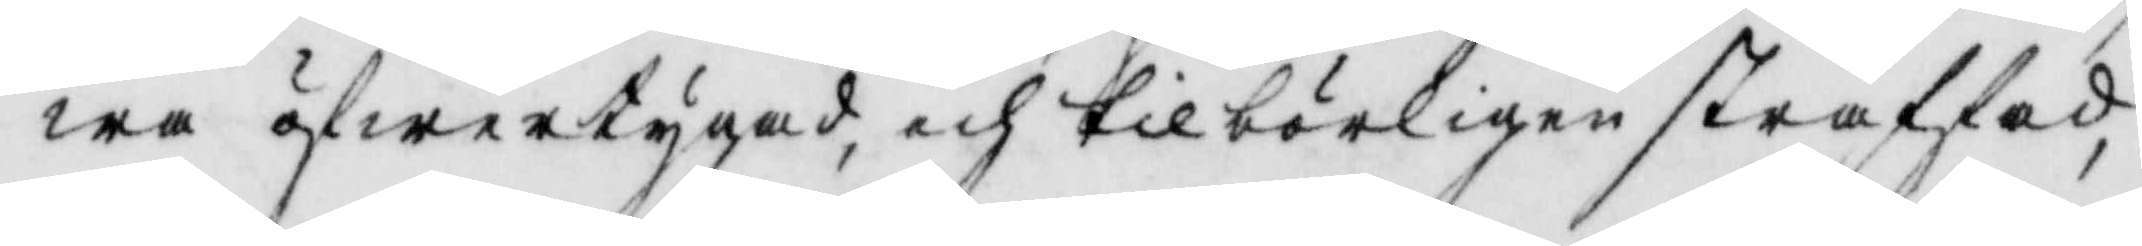wa öfwertygad, och tilbörligen straffad,
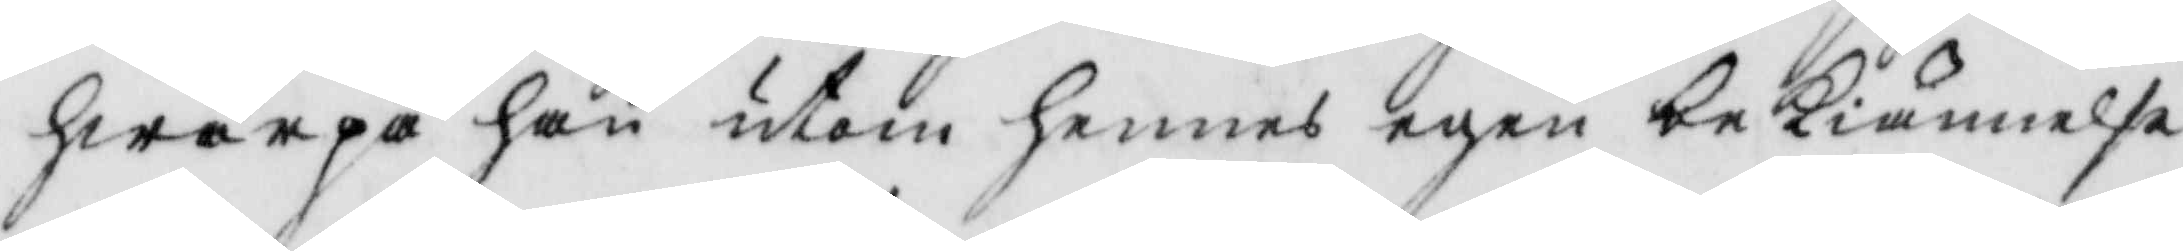hwarpå han utom hennes egen bekiännelse
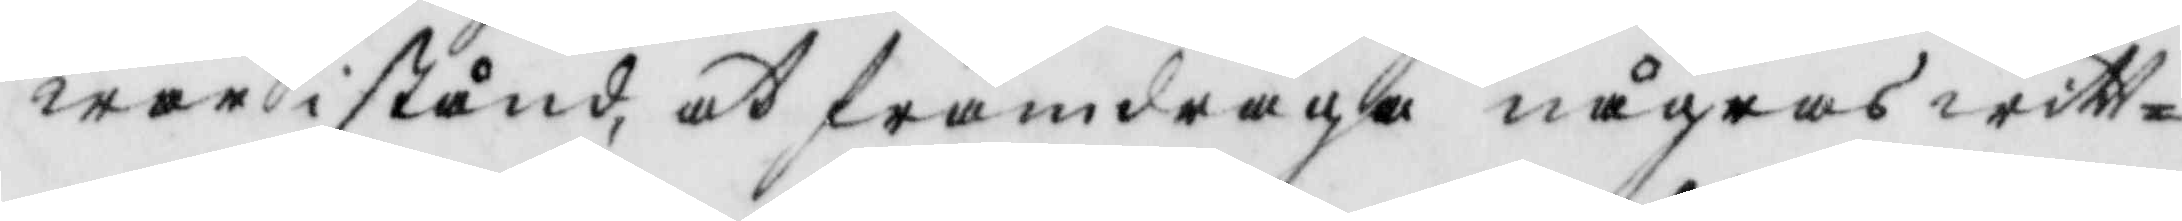war istånd, at framdraga någras witt¬
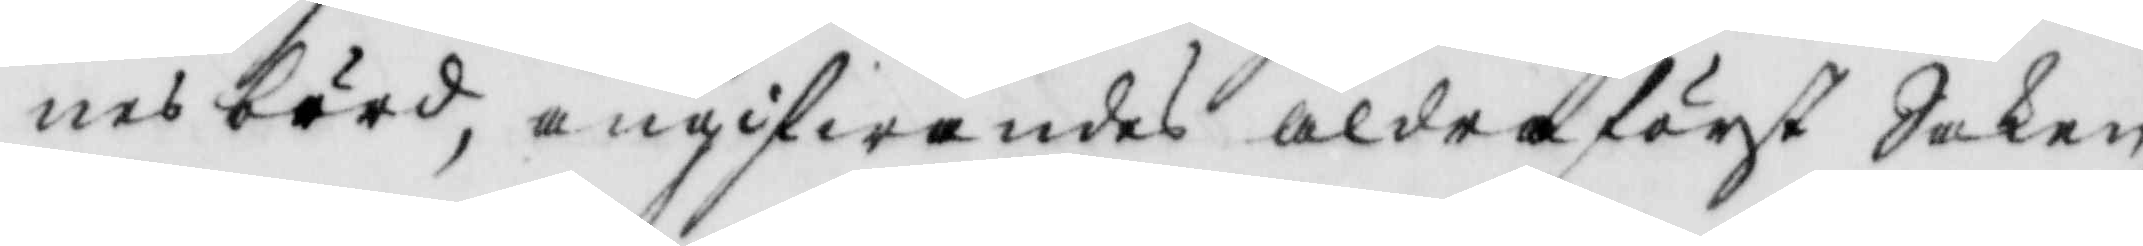nes börd, angifwandes aldra först Saken,
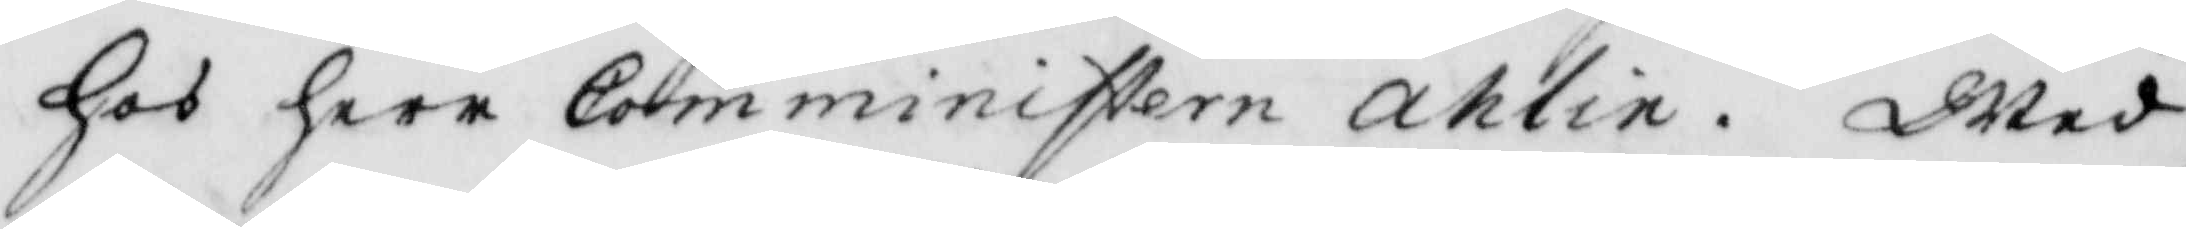hos herr Comministern ahlin. Wed
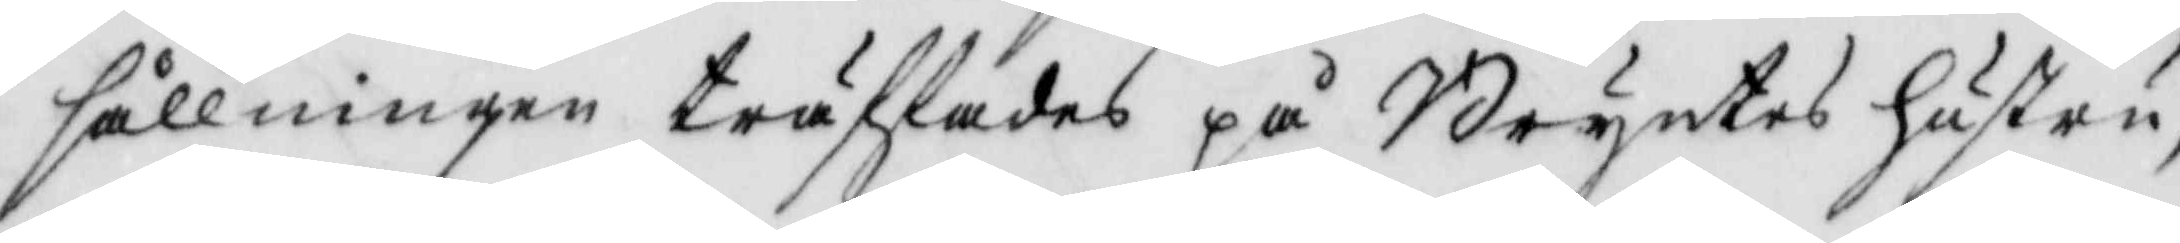sållningen träffades på Bryntes hustru,
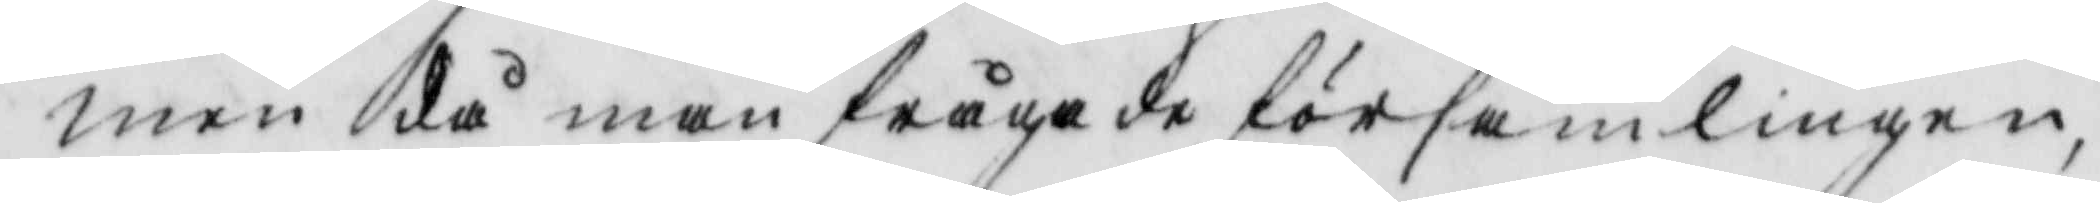men då man frågade församlingen,
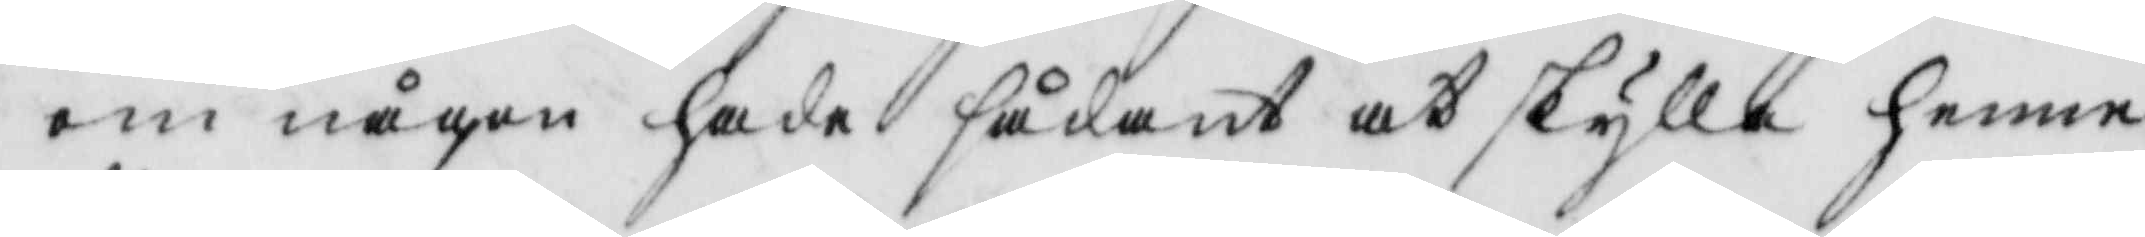om någon hade sådant at skylla henne
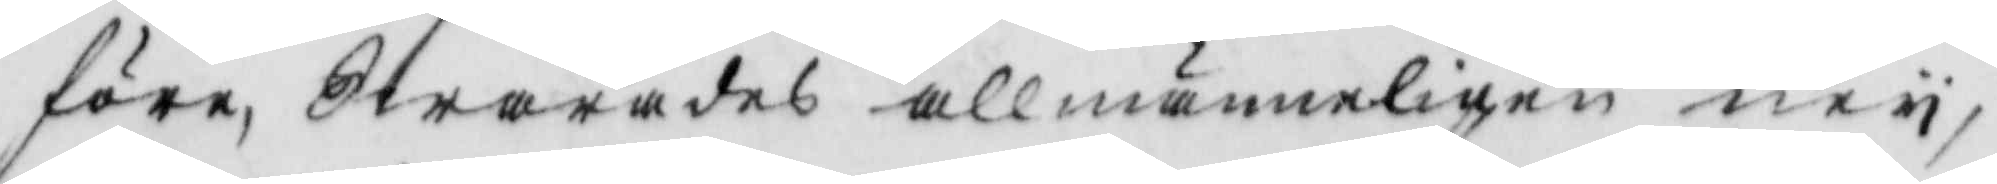före, Swarades allmänneligen ney;
